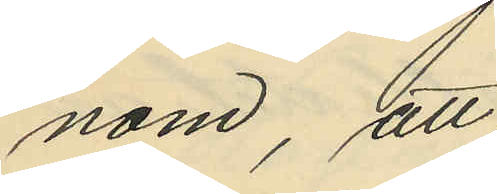nom, att
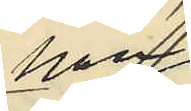han
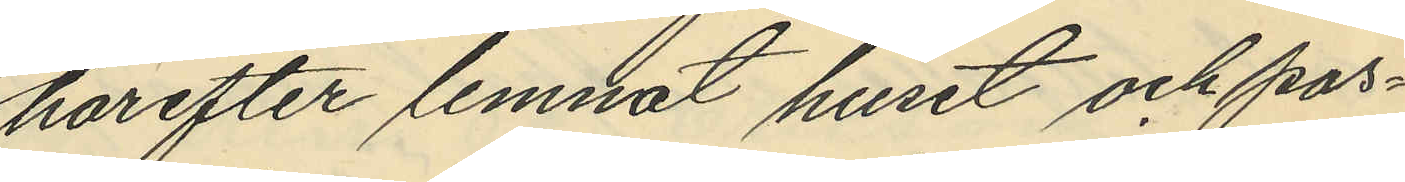härefter lemnat huset och pas¬
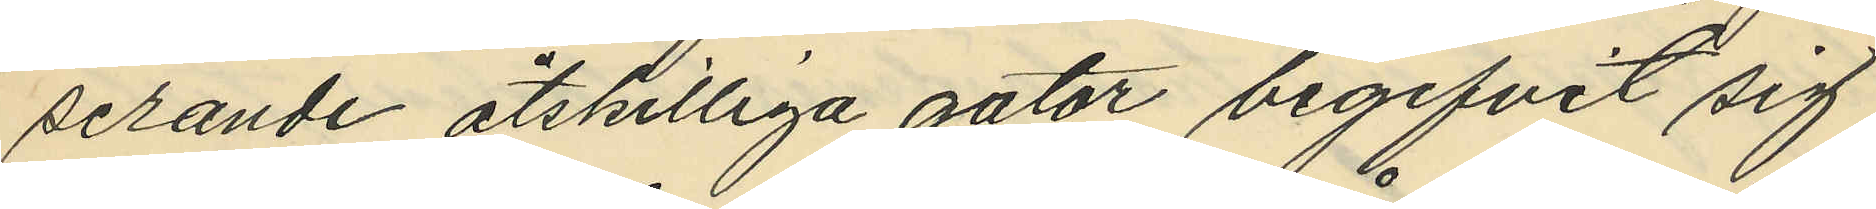serande åtskilliga gator begifvit sig
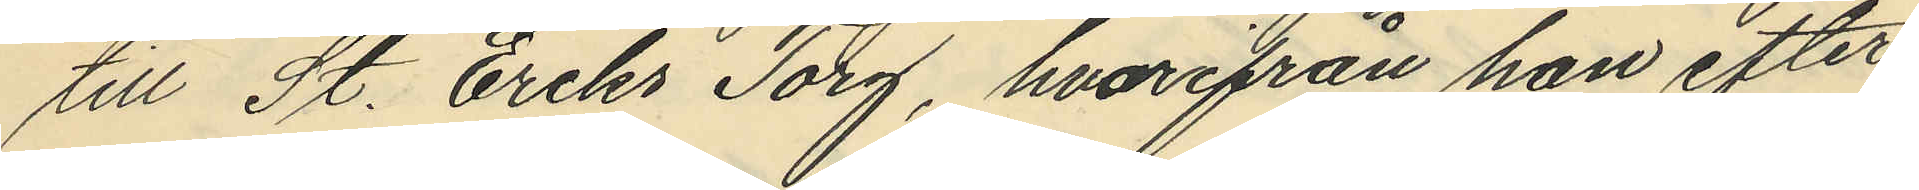till St. Eriks Torg, hvarifrån han efter
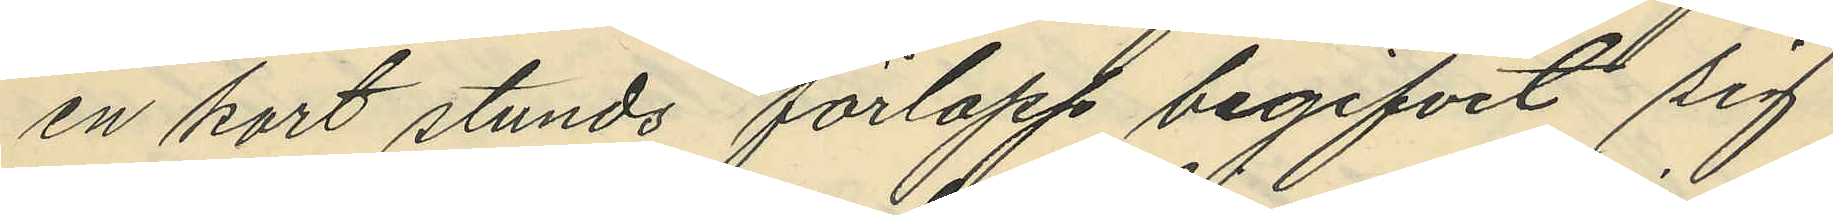en kort stunds förlopp begifvit sig
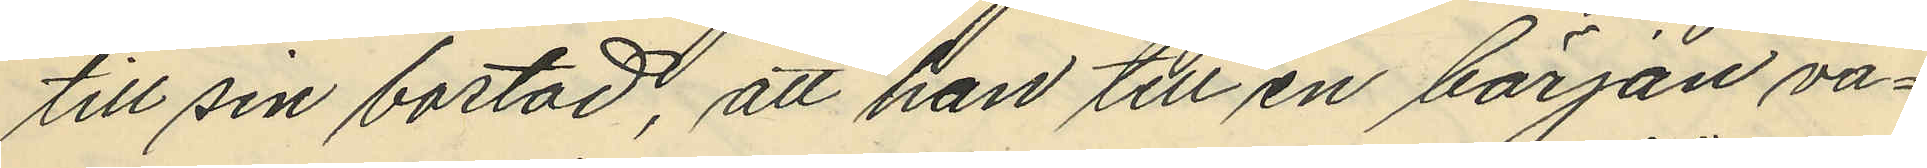till sin bostad, att han till en början va¬
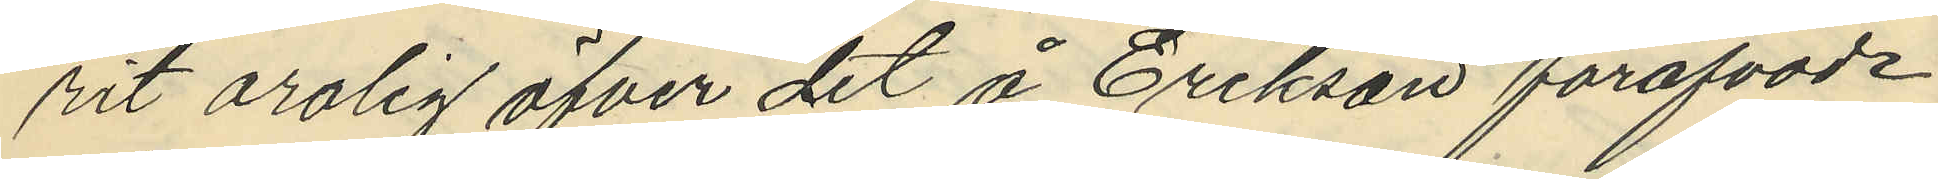rit orolig öfver det å Erikson föröfvade
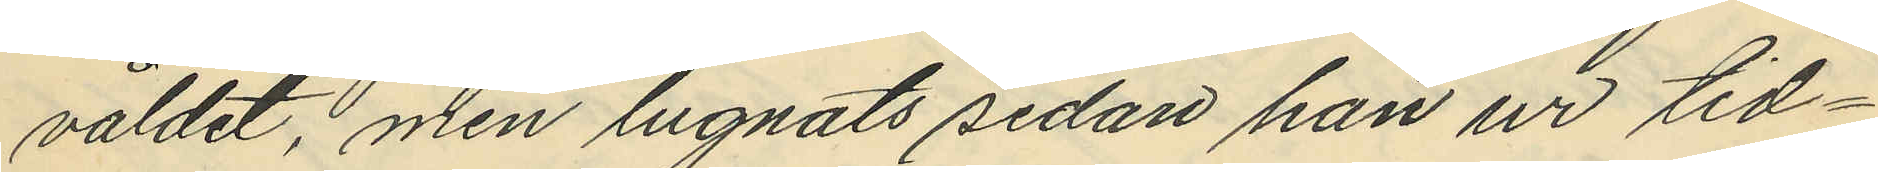våldet, men lugnats sedan han ur tid¬
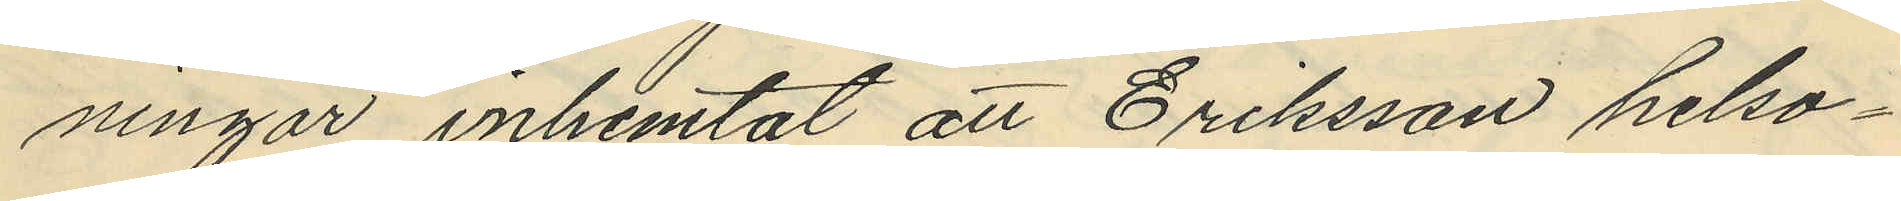ningar inhemtat att Eriksson helso¬
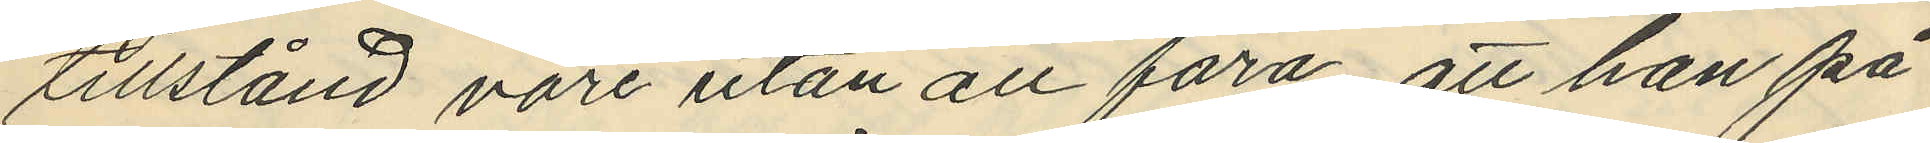tillstånd vore utan all fara, att han på
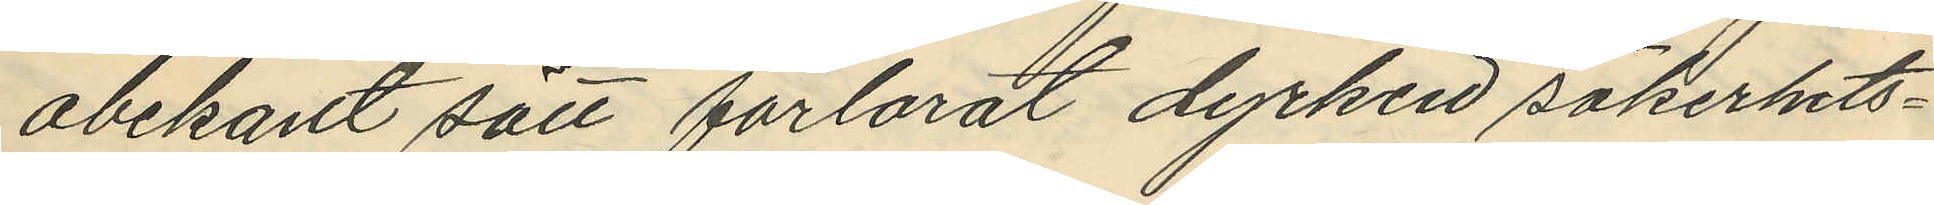obekant sätt förlorat dyrken säkerhets¬
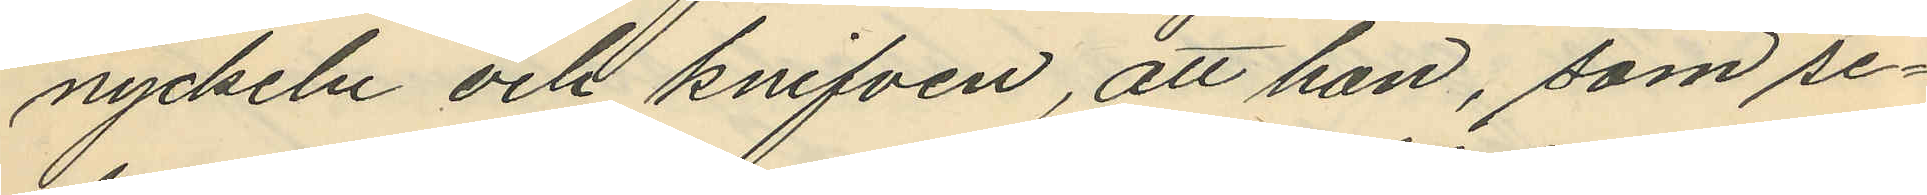nyckeln och knifven, att han, som se¬
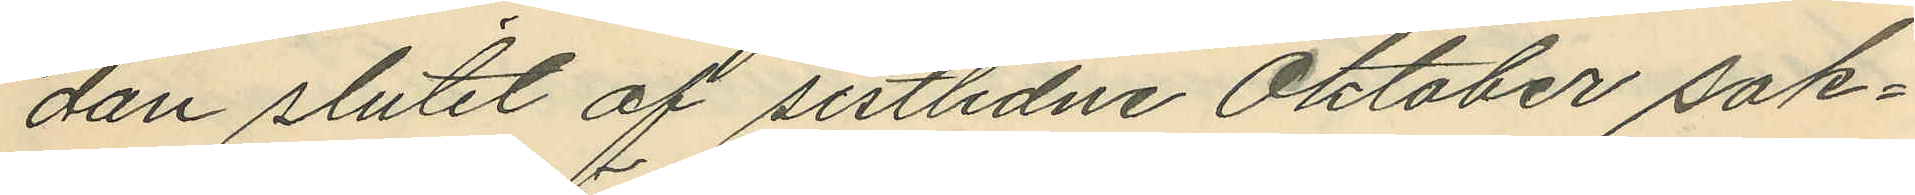dan slutet af sistlidne Oktober sak¬
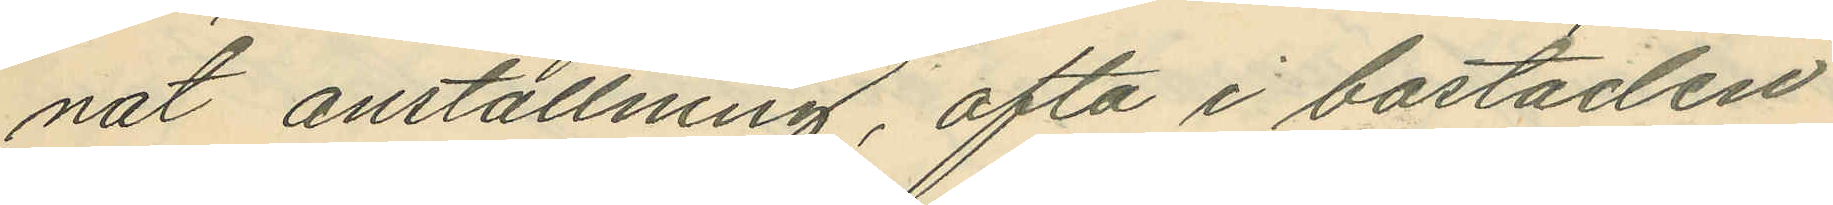nat anställning, ofta i bostaden
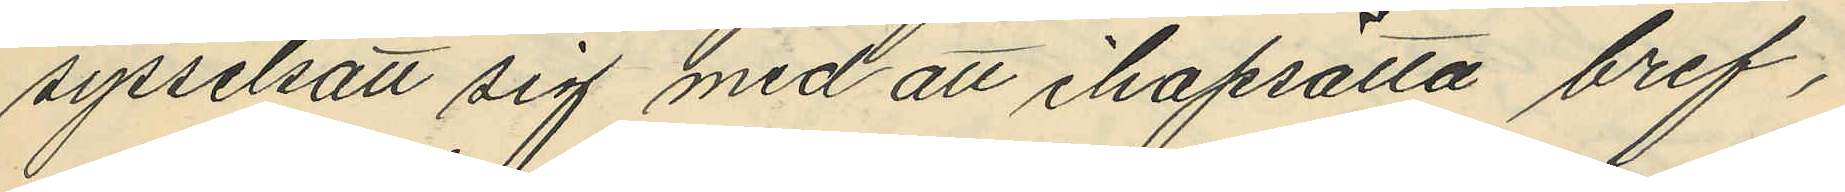sysselsatt sig med att ihopsätta bref,
